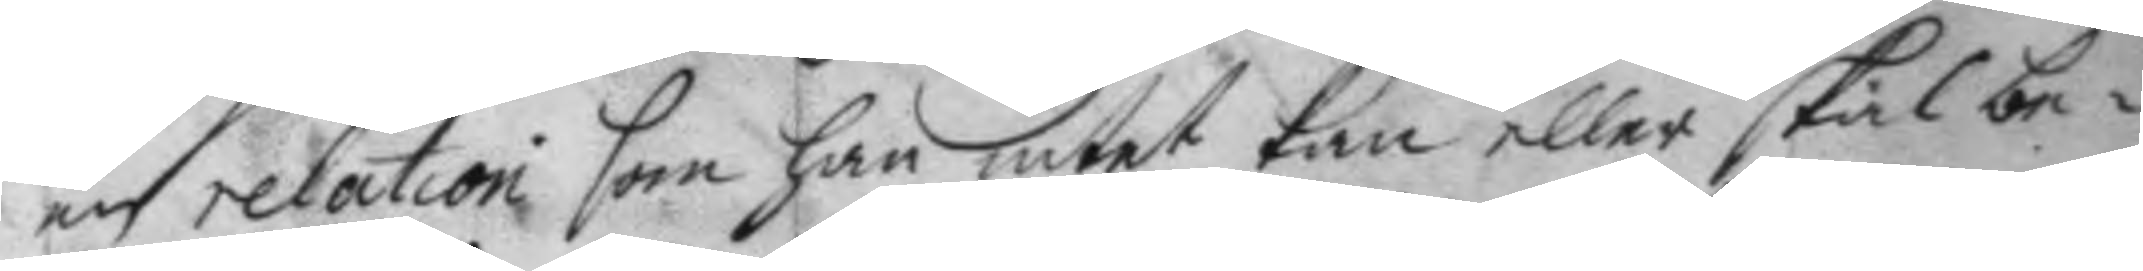en relation som han intet kan eller skal be¬
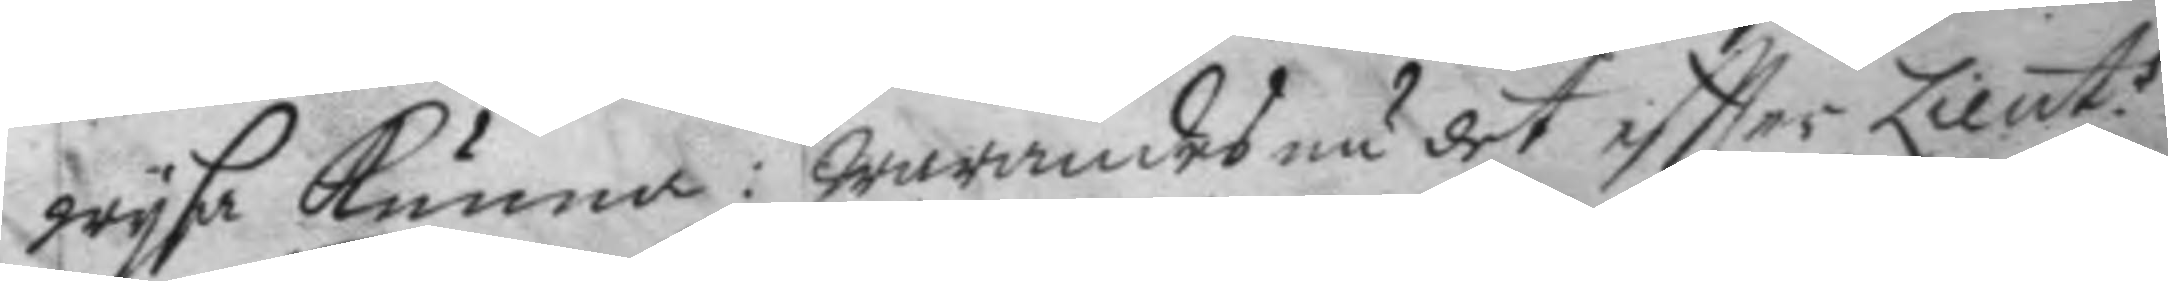wysa kunna: warandes nu det eftter Lieut.s
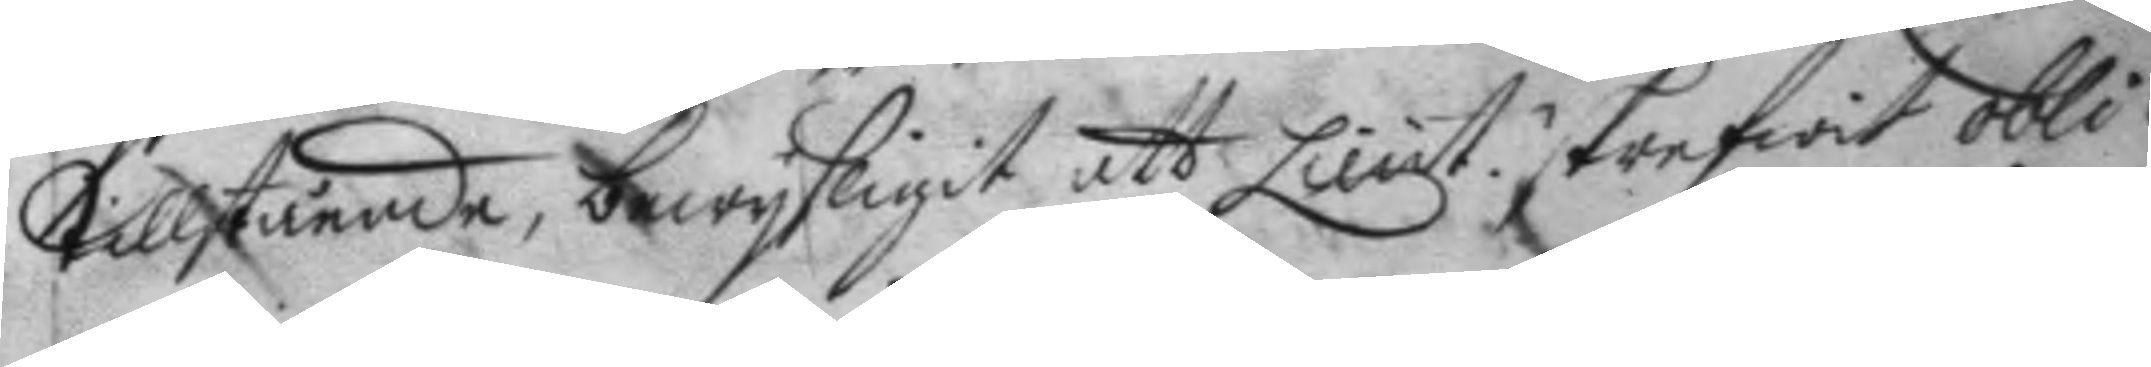tillstående, bewysligit att Lieut. skrefwit obli¬
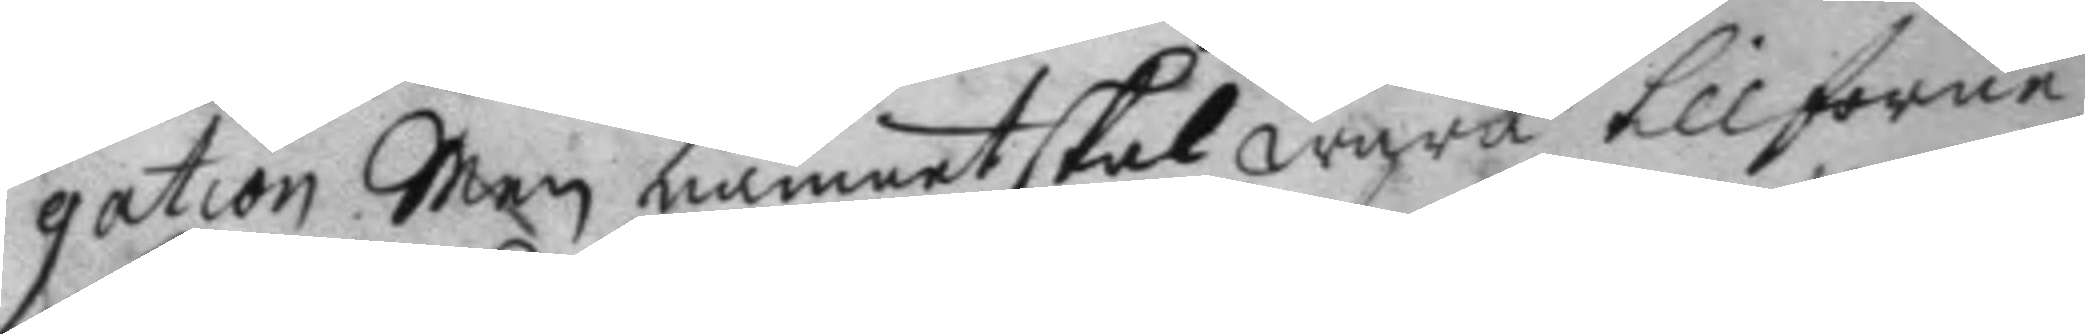gation Men, namnet skal wara tillförne
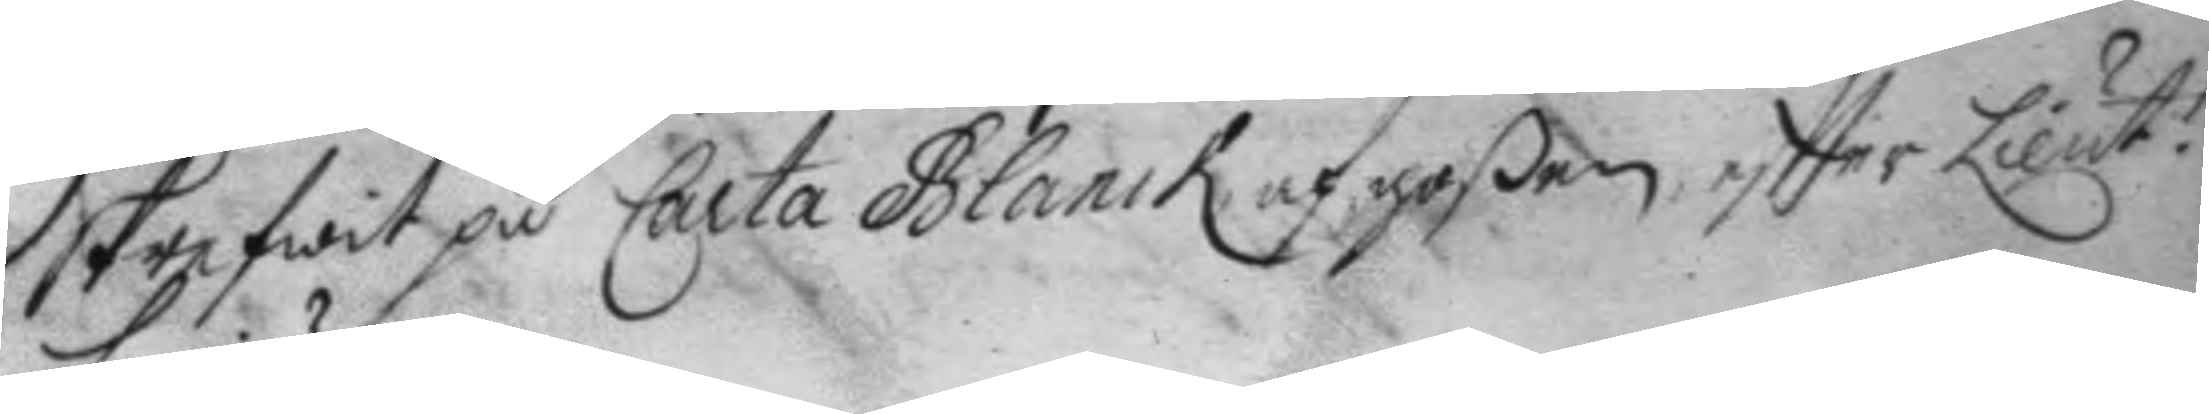skrefwit på Carta Blanck af goßen eftter Lieut.s
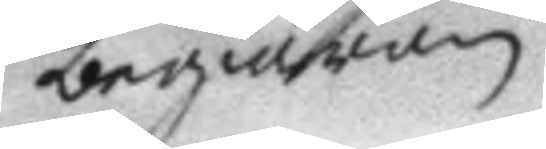begiäran.
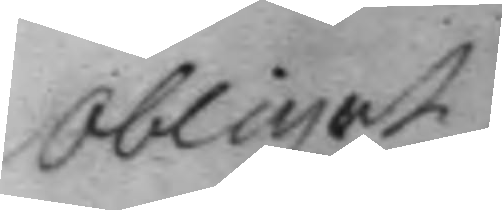Obligat.
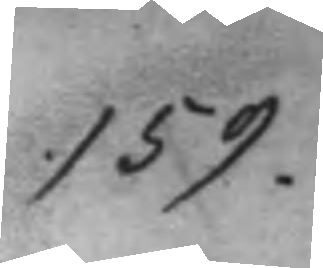159.
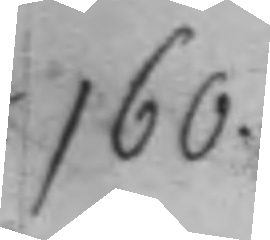160.
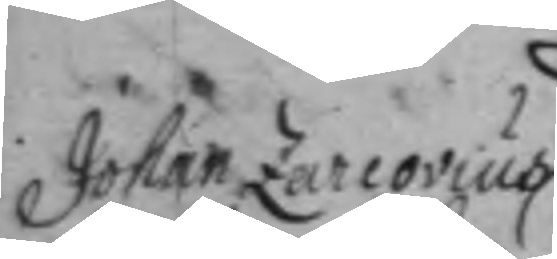Johan Zarcovius
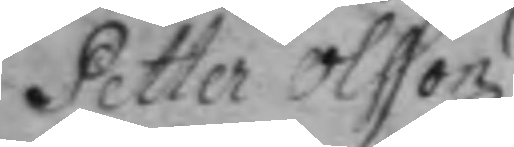Petter Olsson
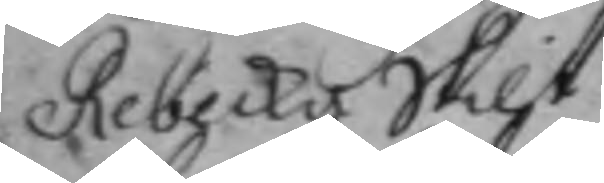Rebecka Skilt 
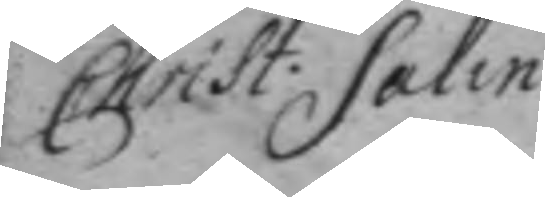Christ: Salin 
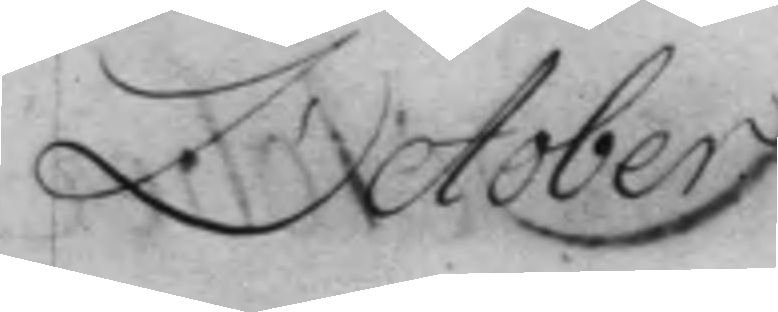October.
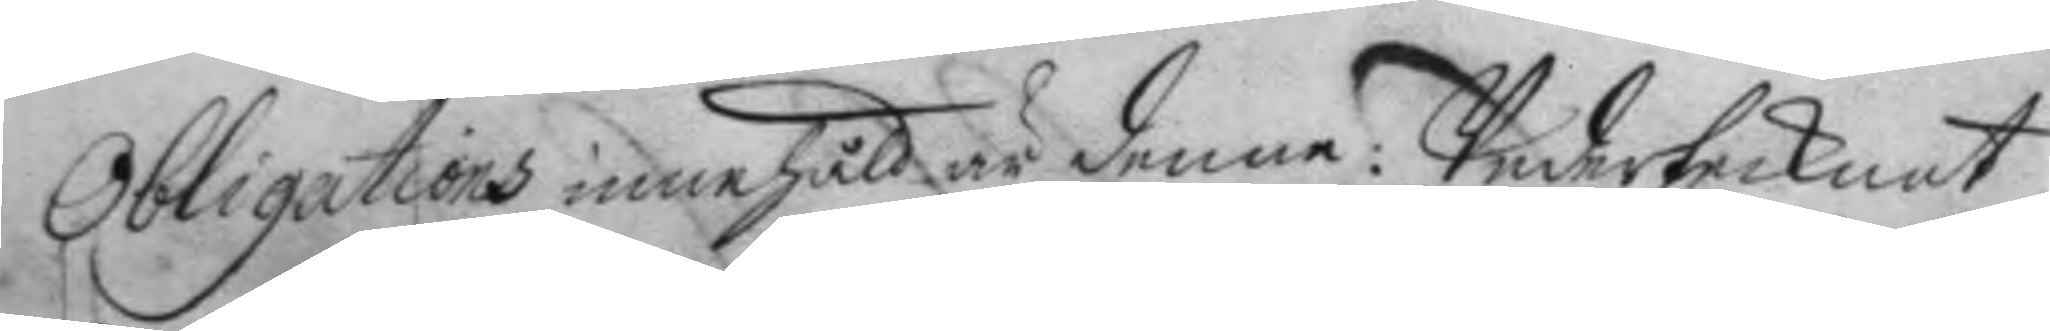Obligations innehåll är denna: Undertecknat
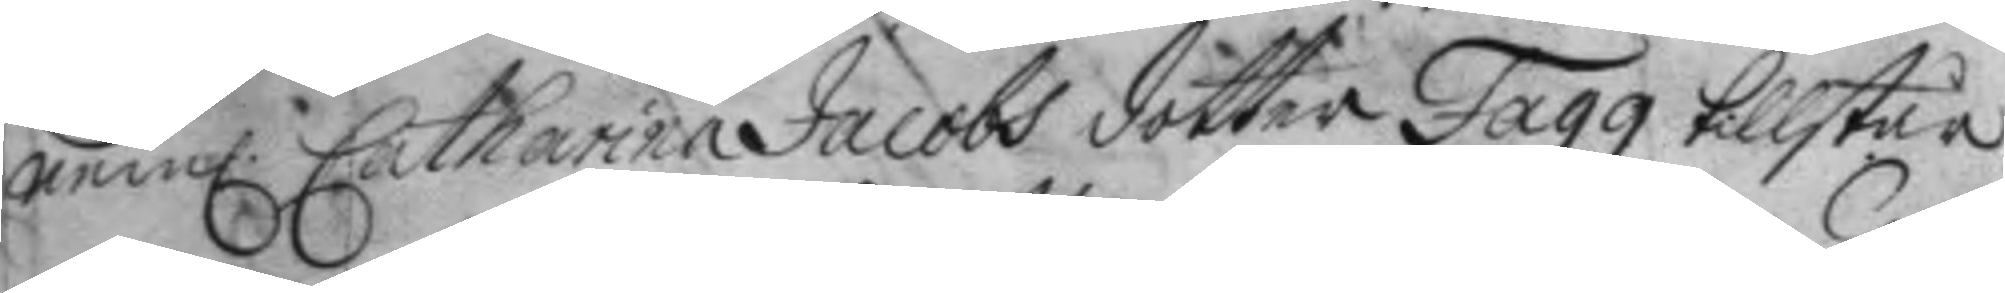nem: Catharina Jacobs dotter Fagg tillstår 
